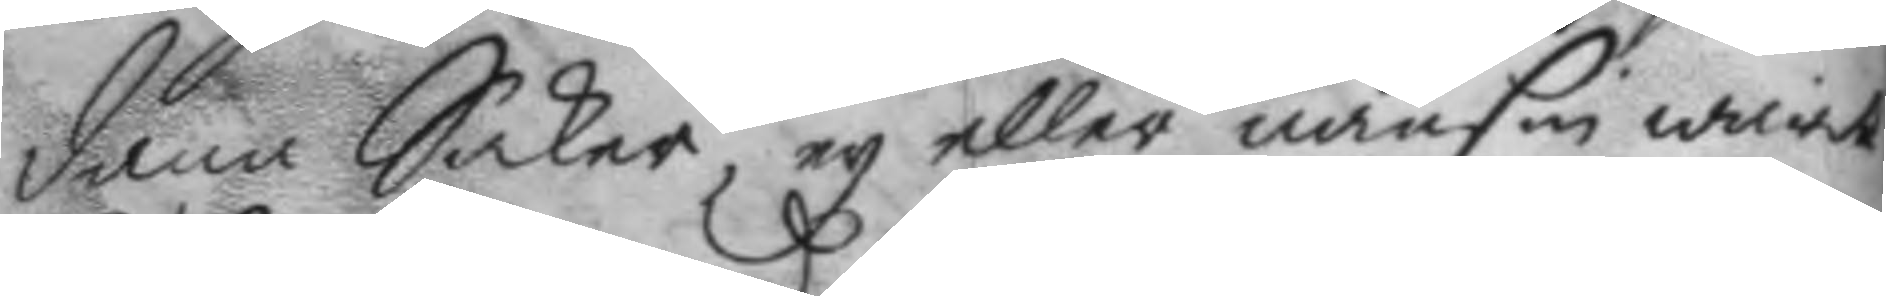dana Saker, ey eller nånsin warit
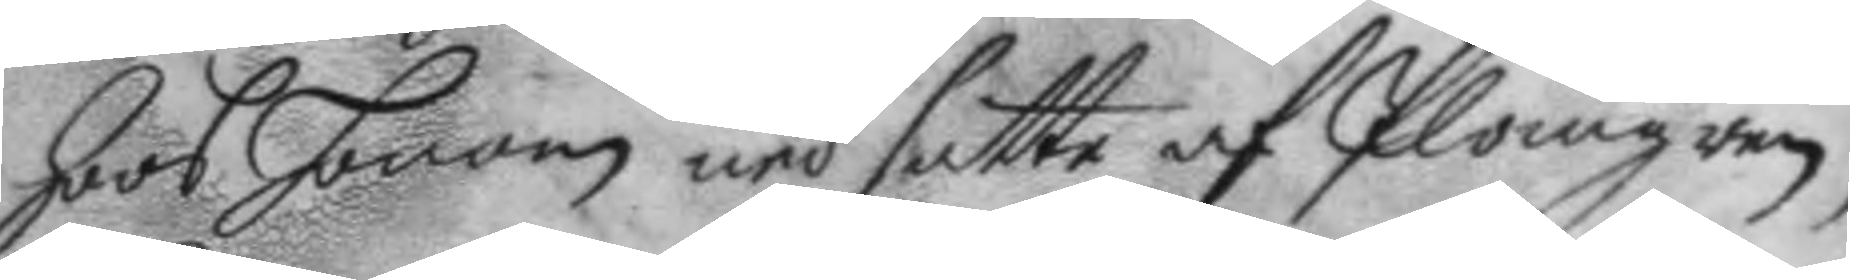hoos honom ned satte af Plomgren,
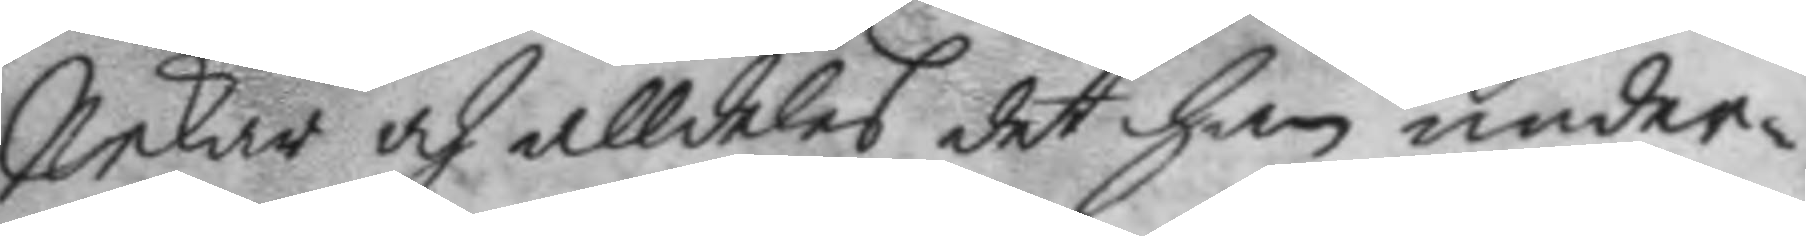nekar och alldeles det han under¬
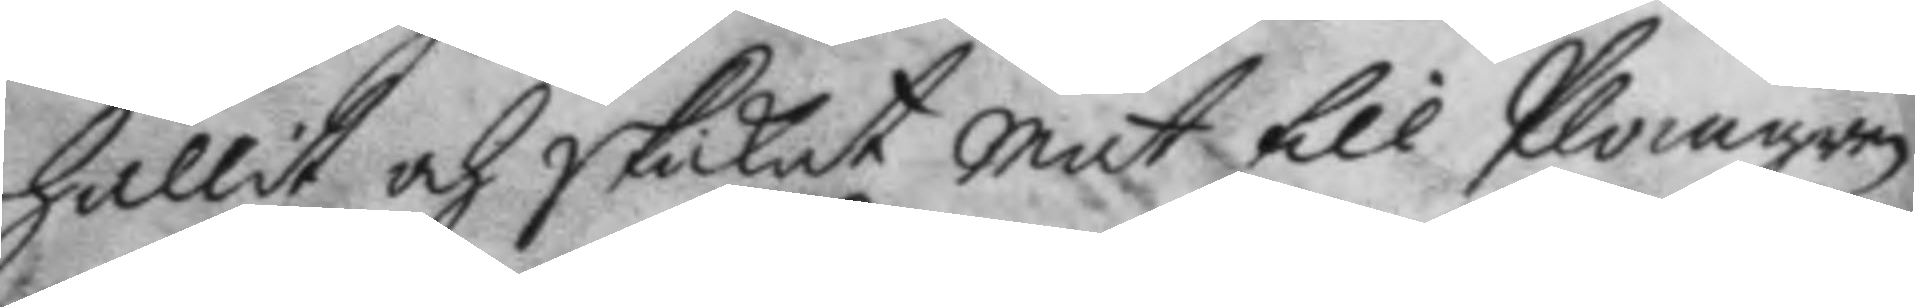hållit och skickat mat till Plomgren
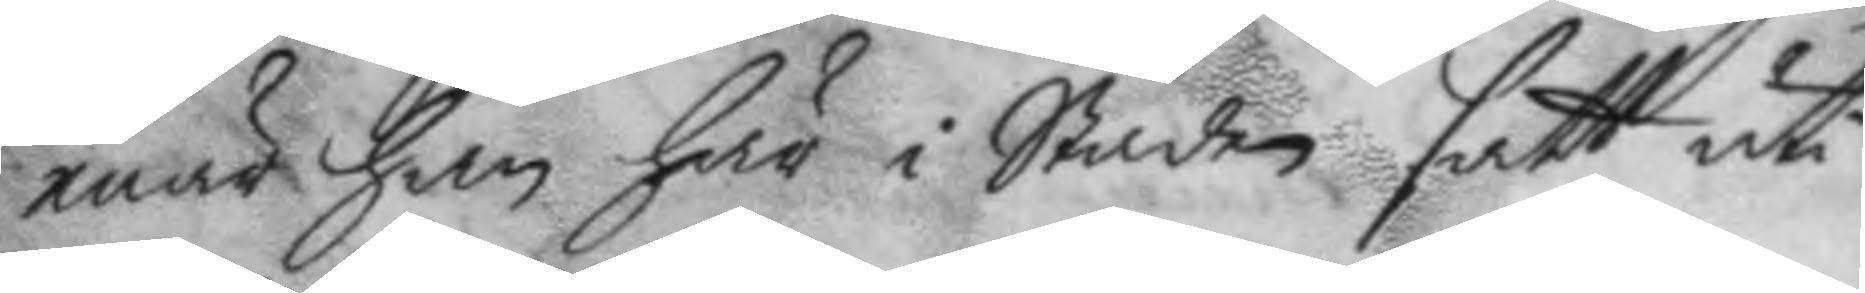enär han här i Staden satt uti
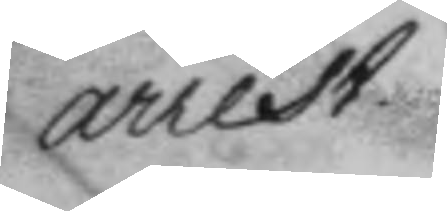arrest.
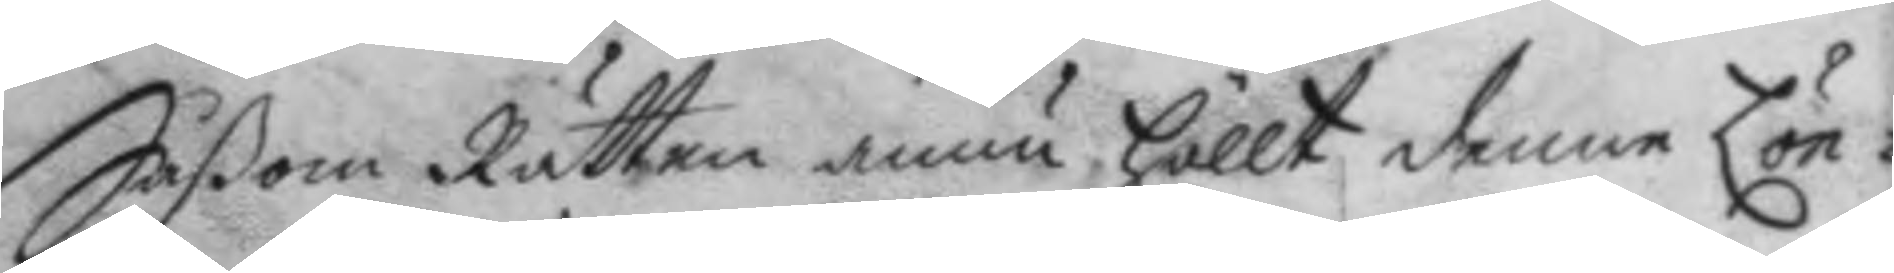Såßom Rätten ännu höllt denne Lön¬
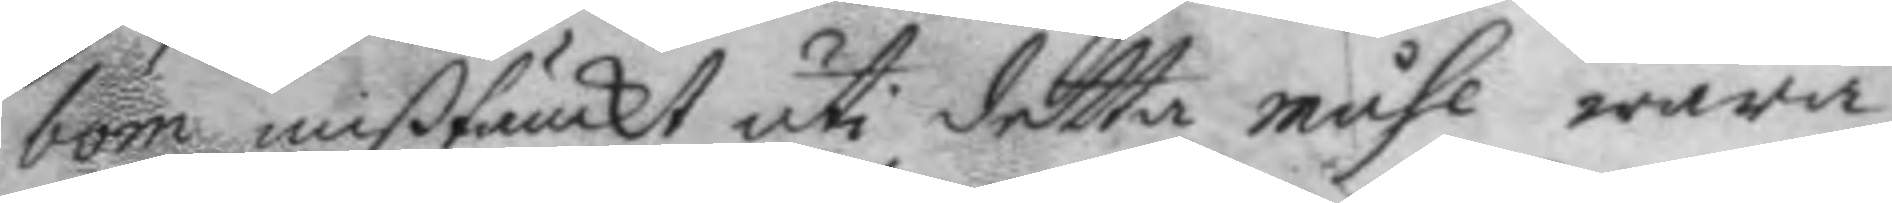bom mißtänckt uti detta måhl wara
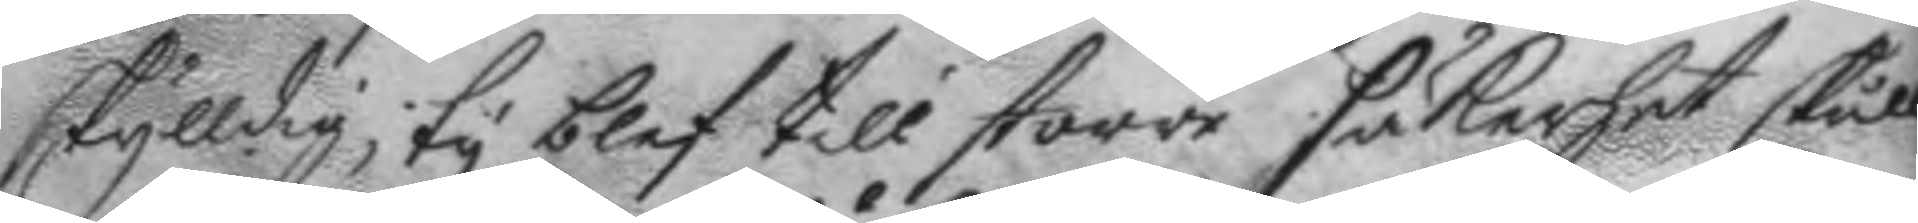skylldig, ty blef till större säkerhet skull
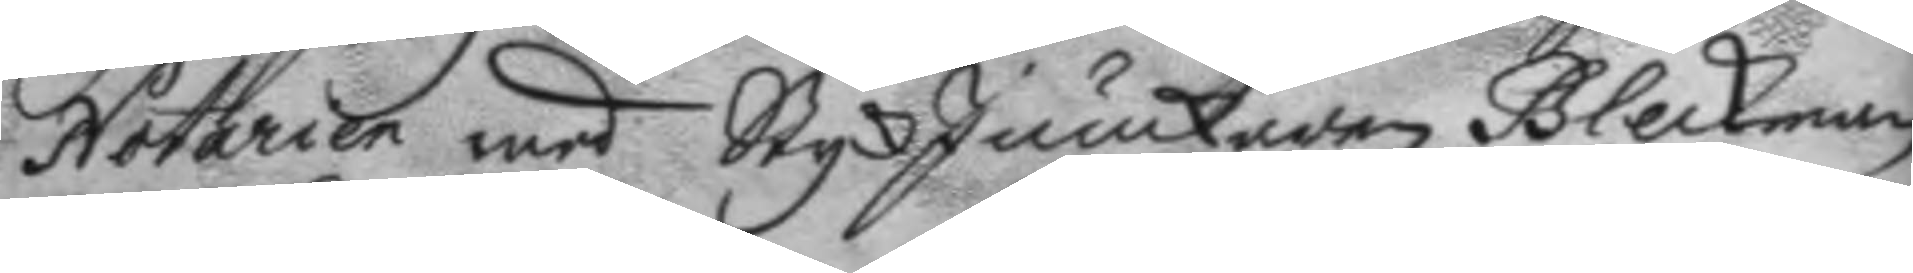Notarien med StyckJunckaren Bleckman
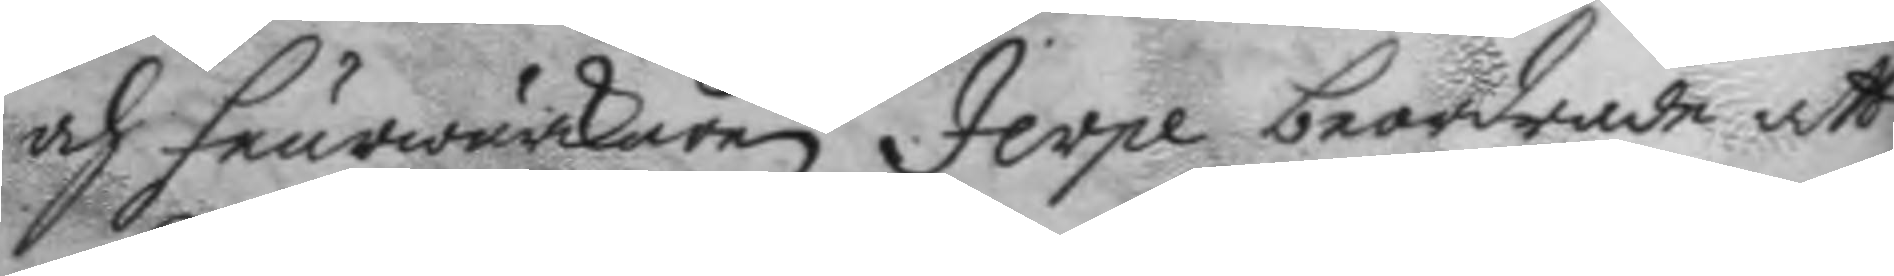och feurwärkaren Jerpe beordrade att
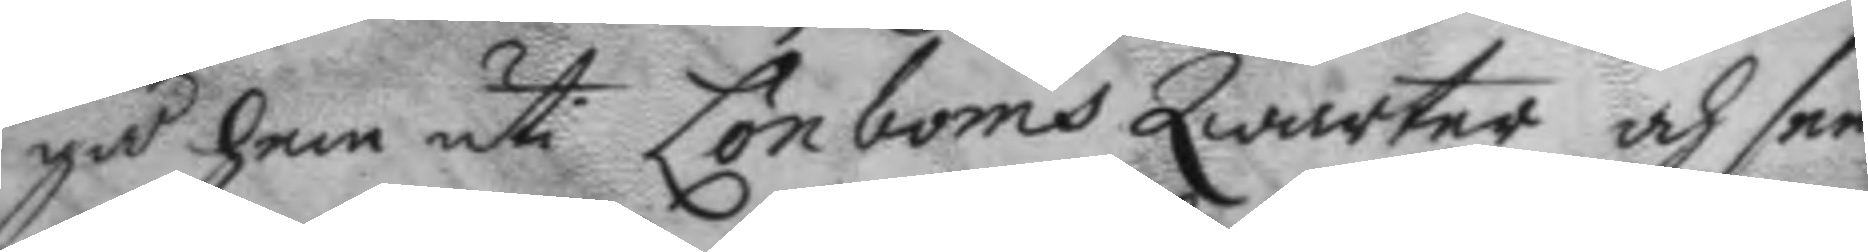gå hem uti Lönboms Qwarter och see
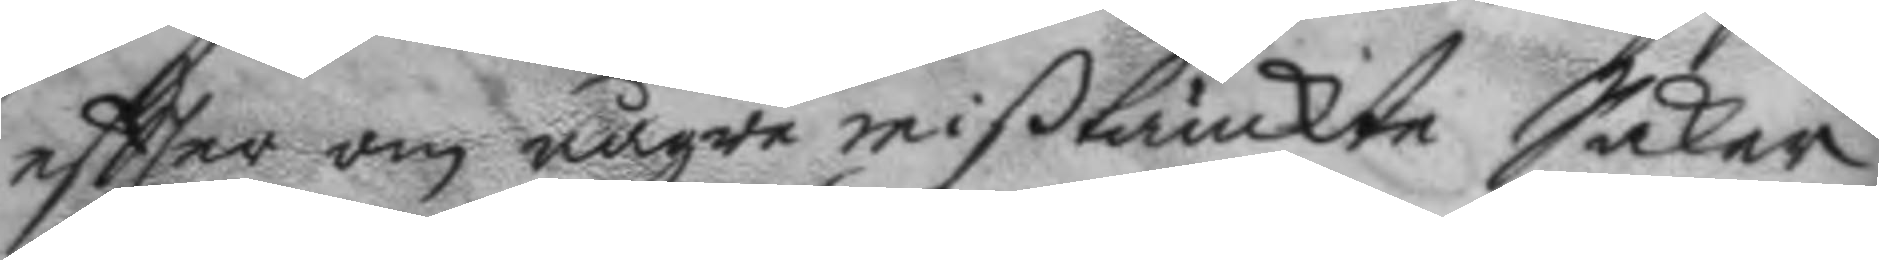eftter om någre mißtänkte Saker
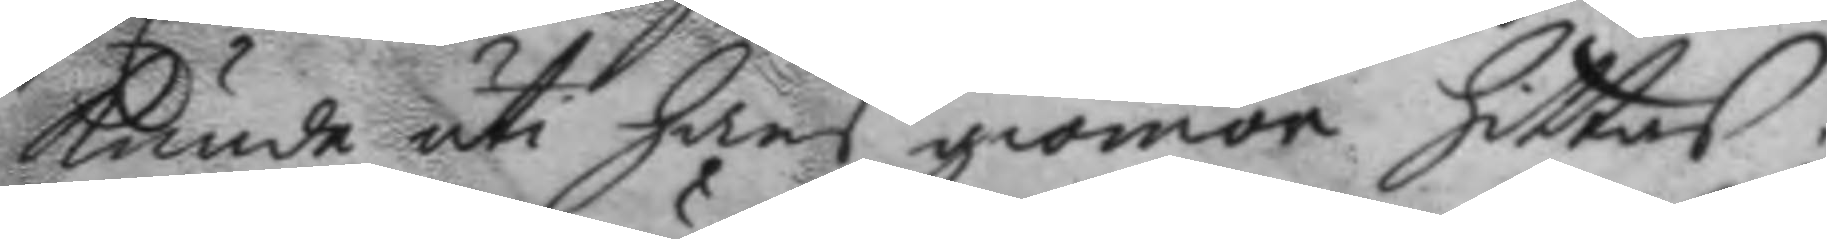kunde uti hans giömor hittas;
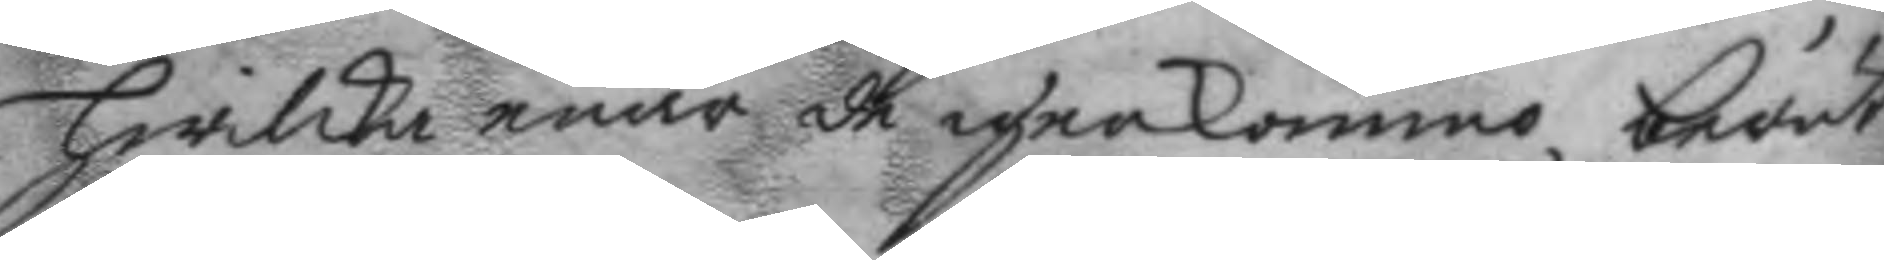hwilka enär de igenkommo, berät¬
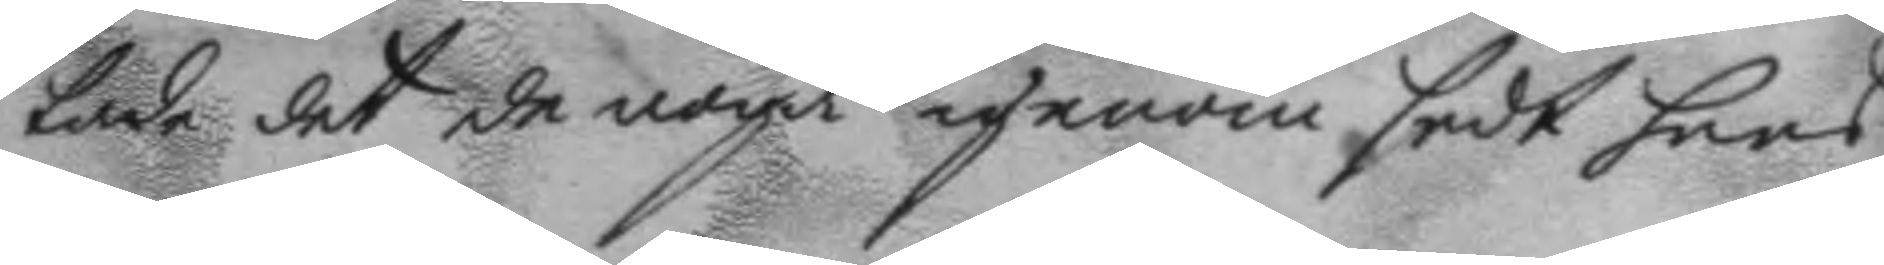tade det de noga igenom sedt hans
